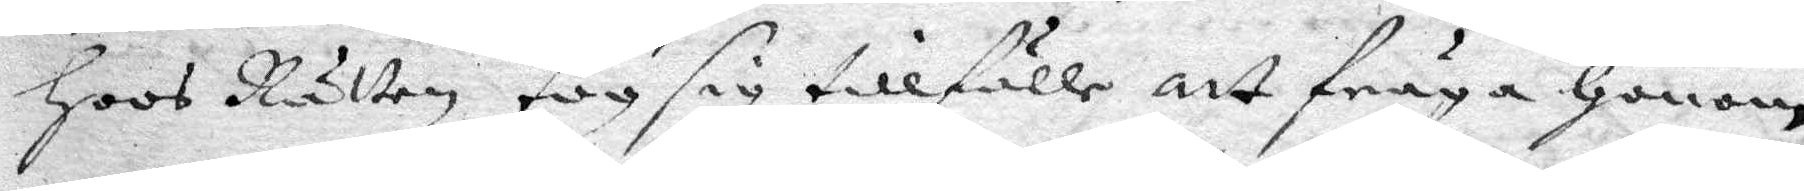Hoos Rätten tog sig tillfälle att fråga Honom
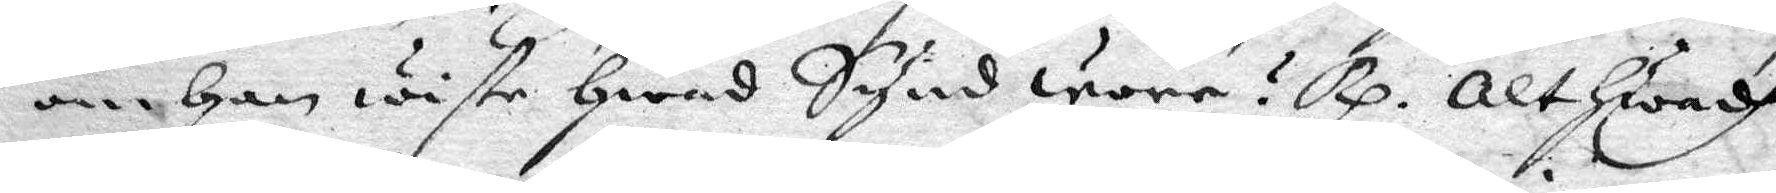om Han wiste Hwad Synd wore? Rp. Alt Hwadh
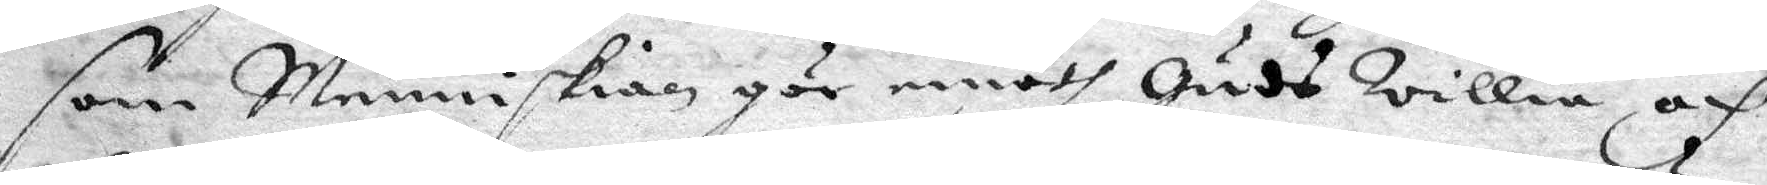som Menniskian gör emodt Guds Willia af
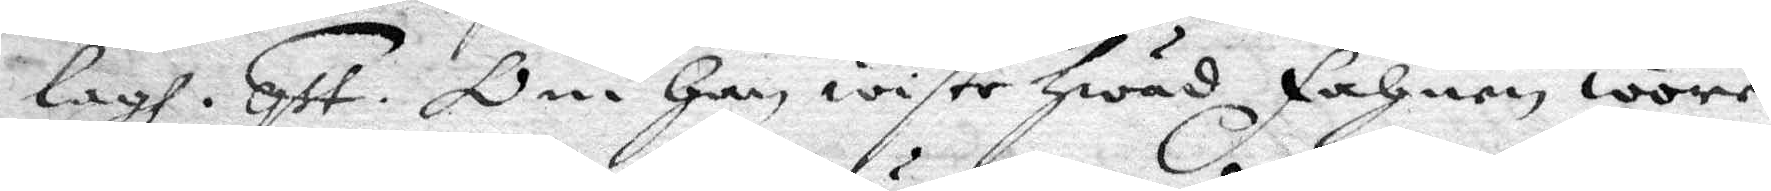lagh. qst. Om Han wiste Hwad fahnen wore
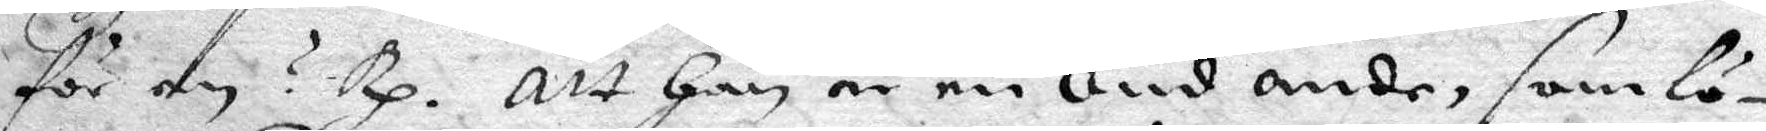för en? Rp. Att Han är en Ond ande, som lö¬
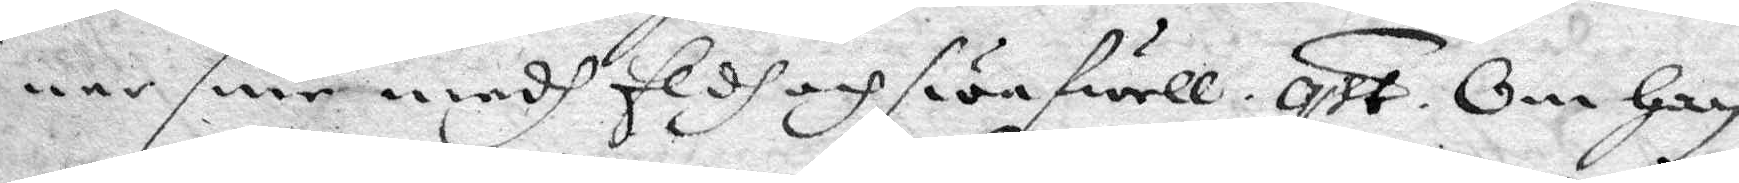ner sine medh Eldh och swafwell. qst. Om Han
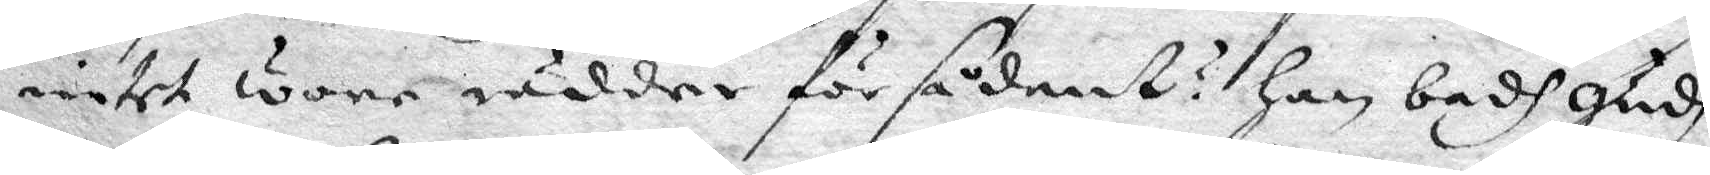intet wore rädder för sådant? Han badh gudh
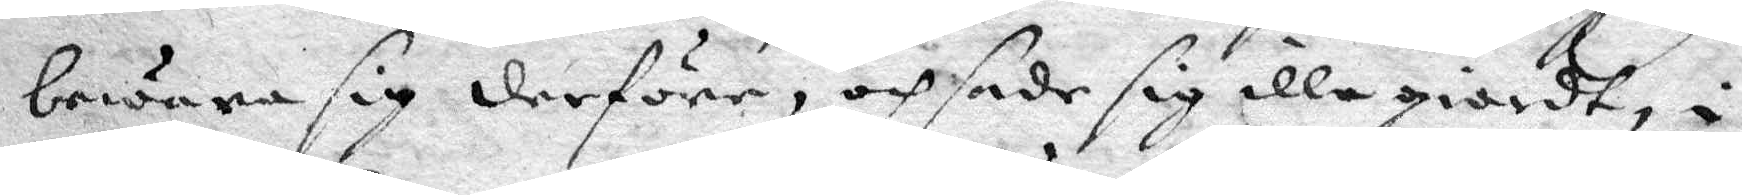bewara sig derföre, och sade sig illa giordt, i
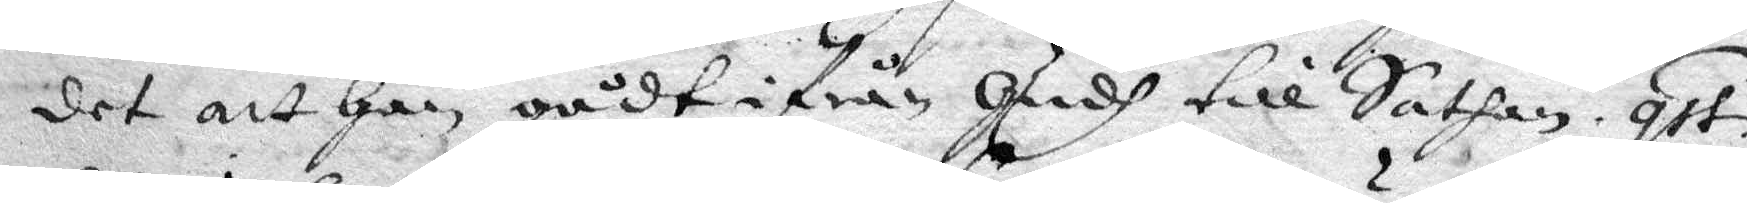det att Han gådt ifrån Gudh till Satan. qst.
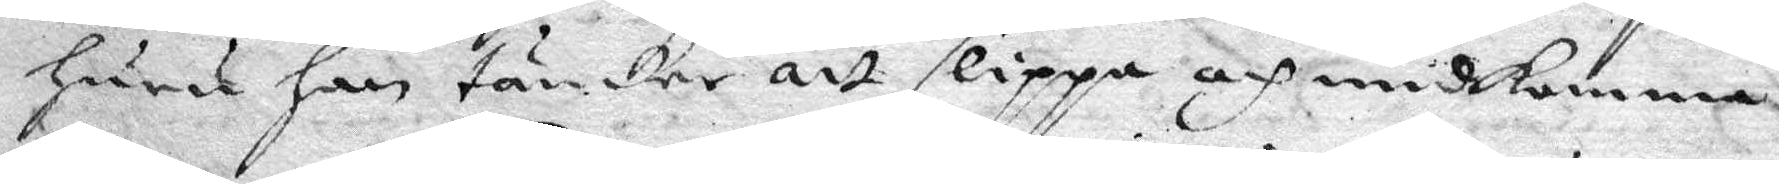Huru Han tänker att slippa och undkomma
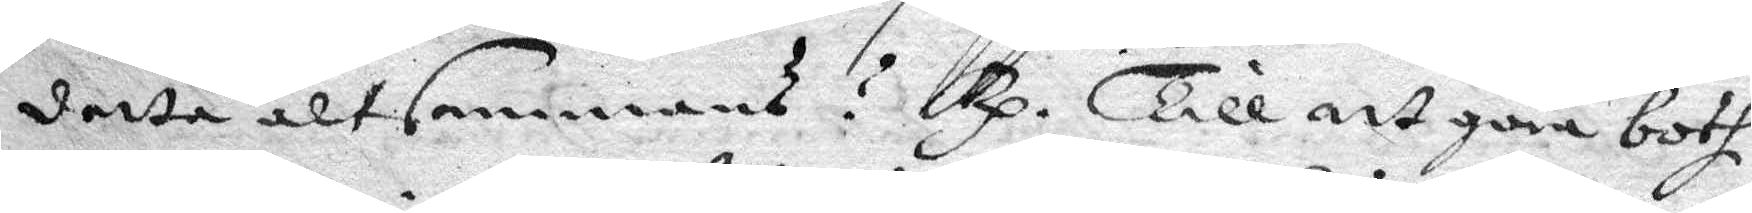detta altsammans? Rp. Till att göra both
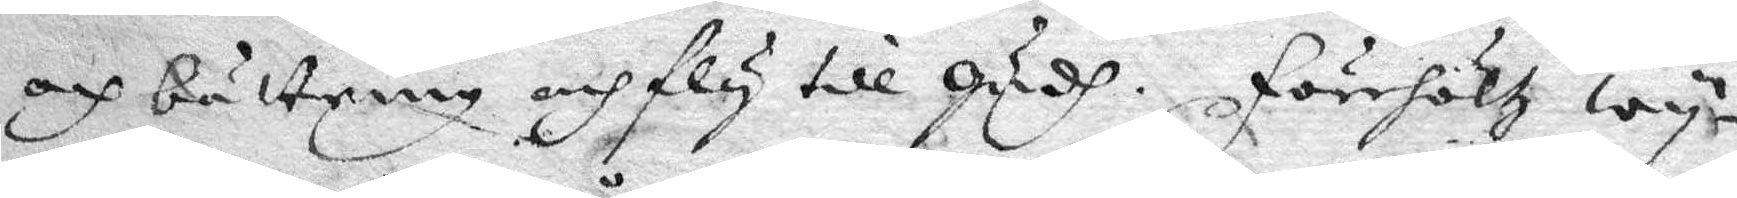och bättring och fly till Gudh. förehöltz wy¬
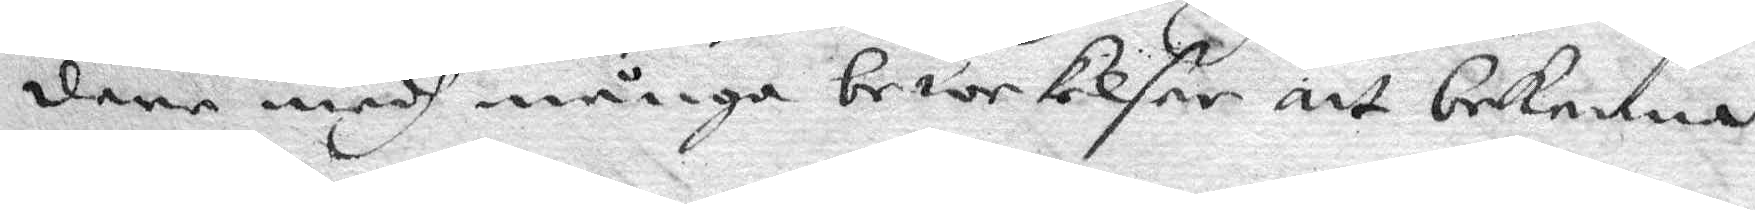dare medh många bewekelser att bekenna
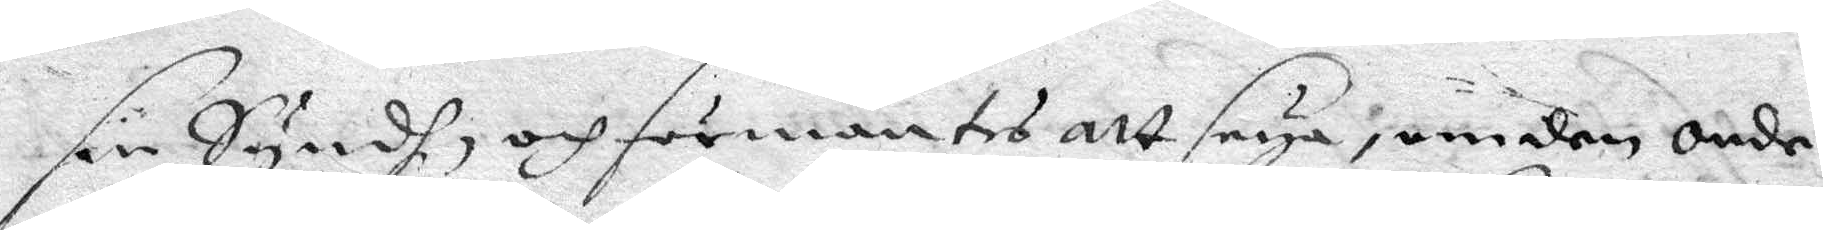sin Syndh, och förmantes att seya, om den onde
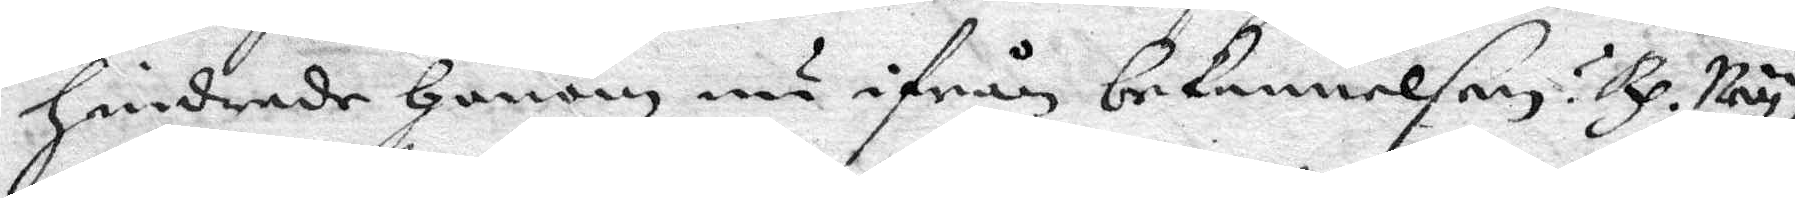Hindrade Honom nu ifrån bekennelsen? Rp. Ney,
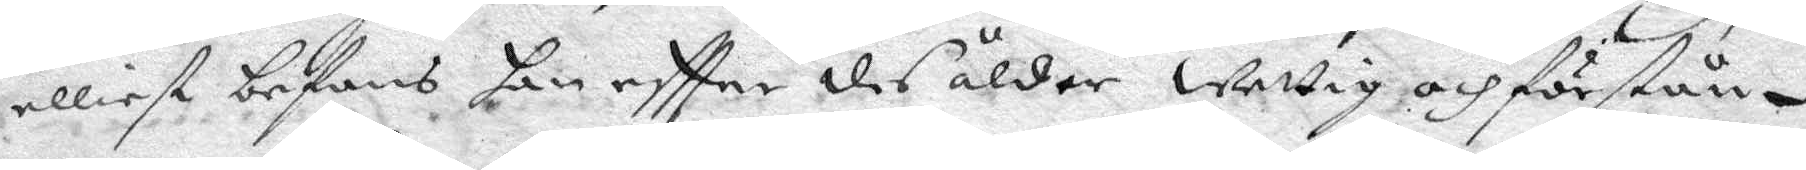elliest befans Han eftter des ålder wettig och förstån¬
